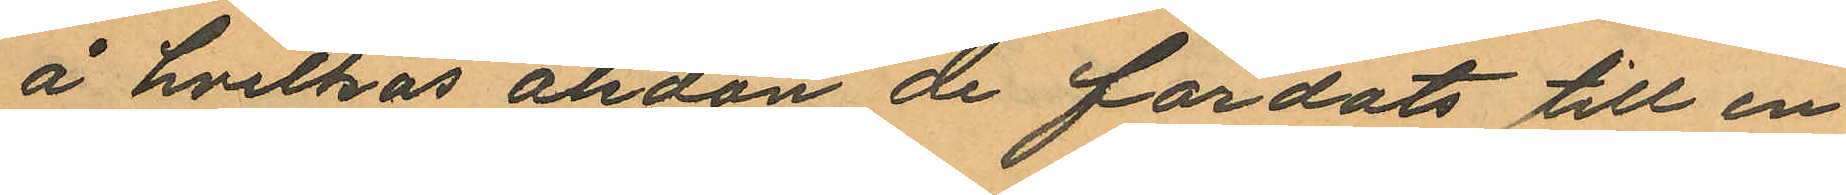å hvilkas åkdon de färdats till en
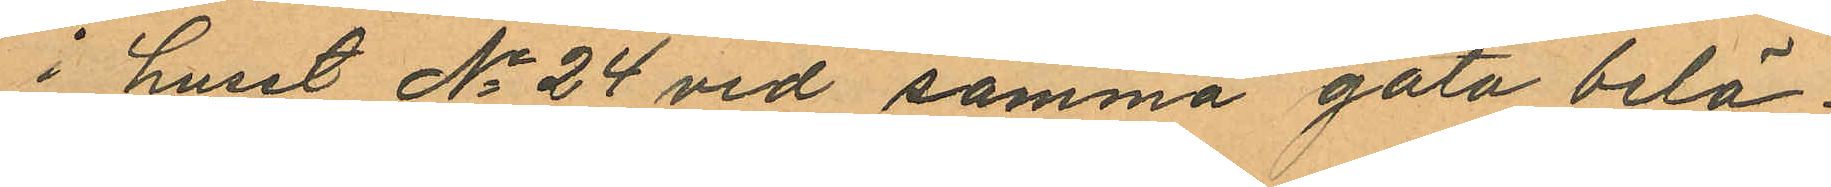i huset No 24 vid samma gata belä¬
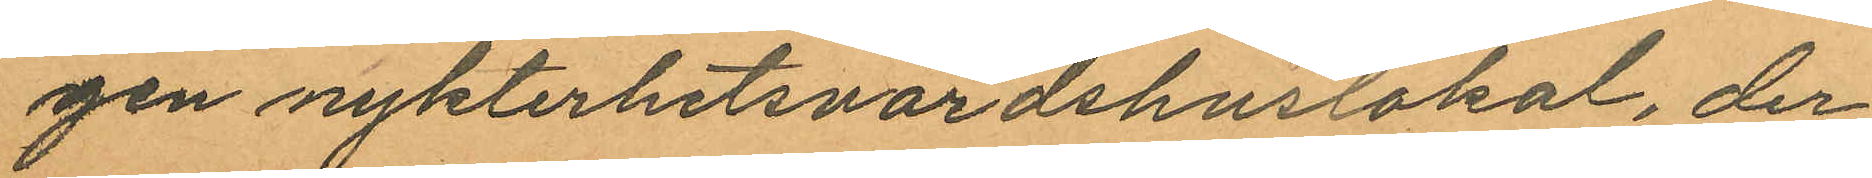gen nykterhetsvärdshuslokal, der
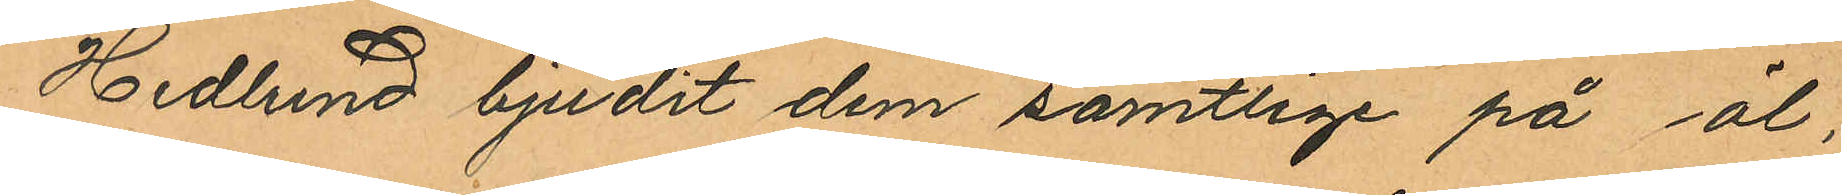Hedlund bjudit dem samtlige på öl,
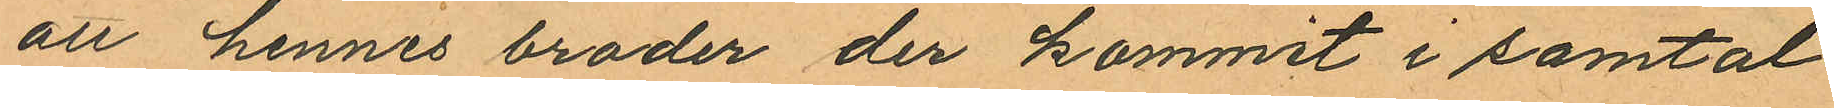att hennes broder der kommit i samtal
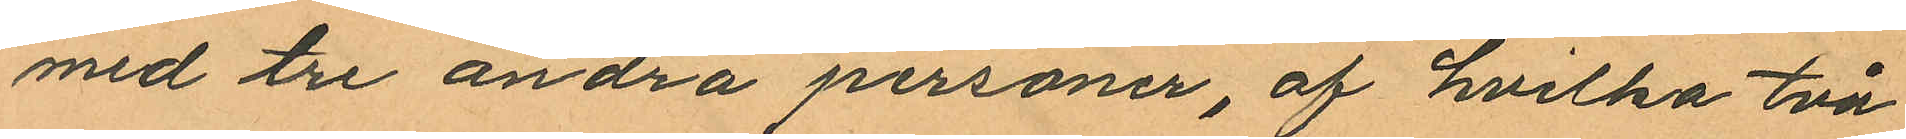med tre andra personer, af hvilka två
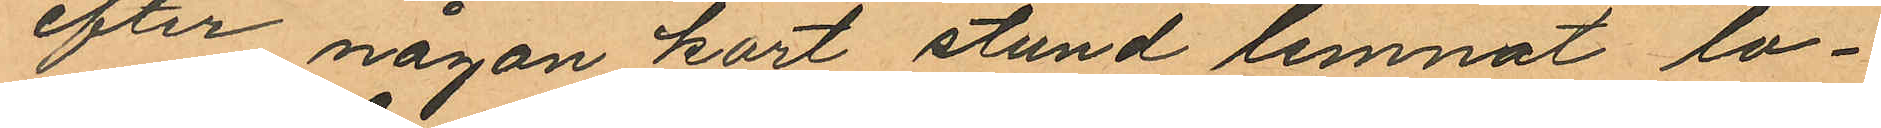efter någon kort stund lemnat lo¬
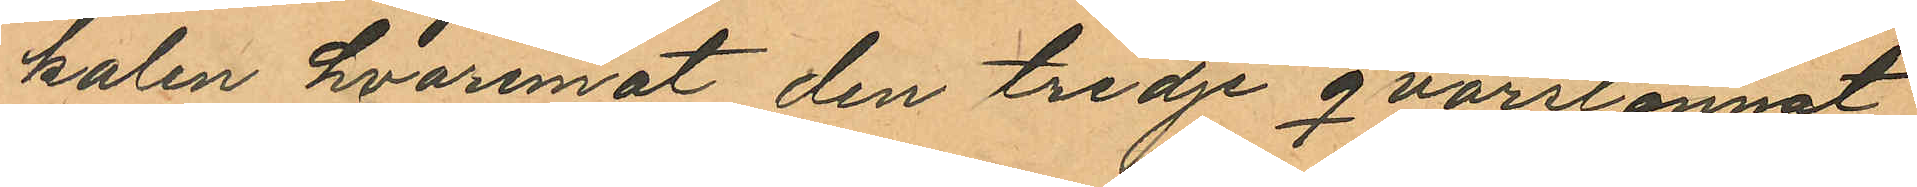kalen hvaremot den tredje qvarstannat
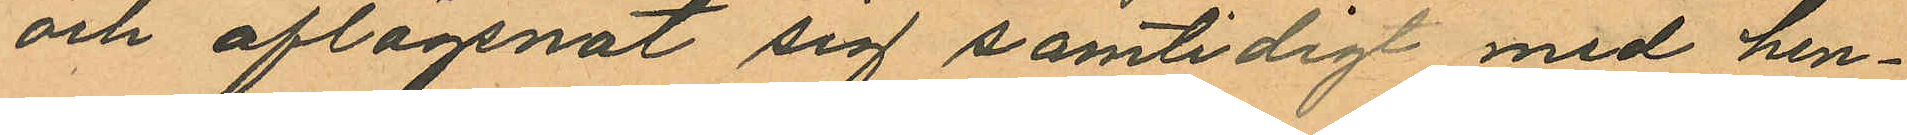och aflägsnat sig samtidigt med hen¬
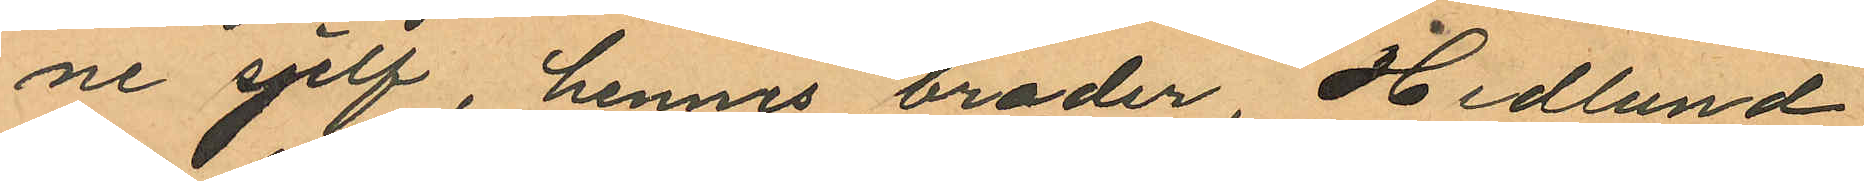ne sjelf, hennes broder Hedlund
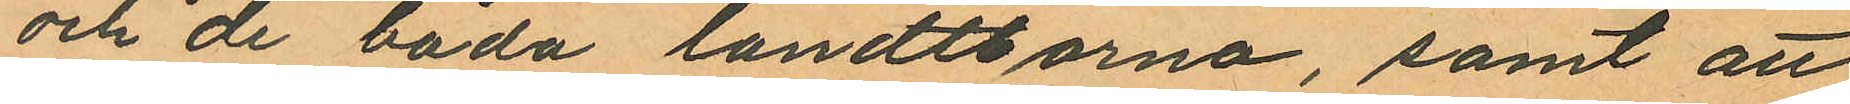och de båda landtborna, samt att
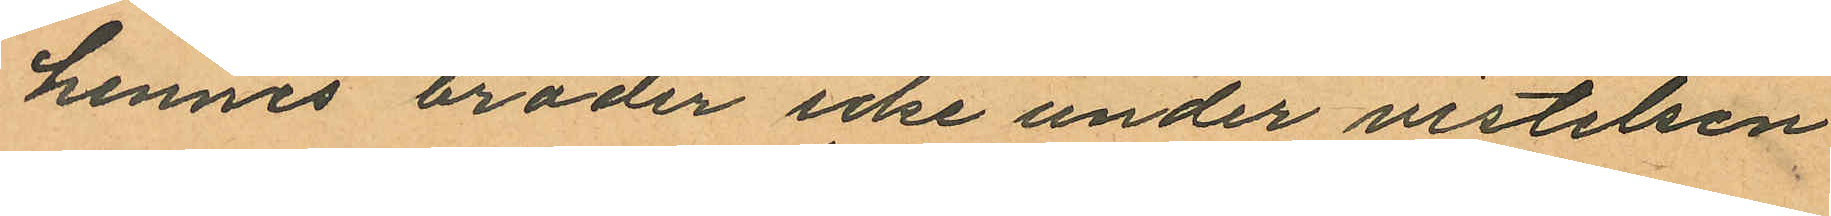hennes broder icke under vistelsen
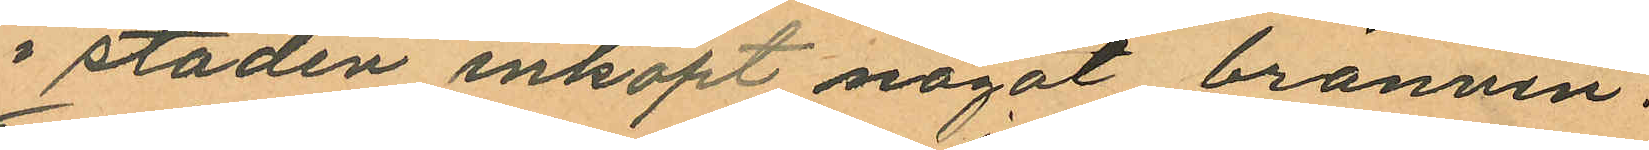i staden inköpt något bränvin.
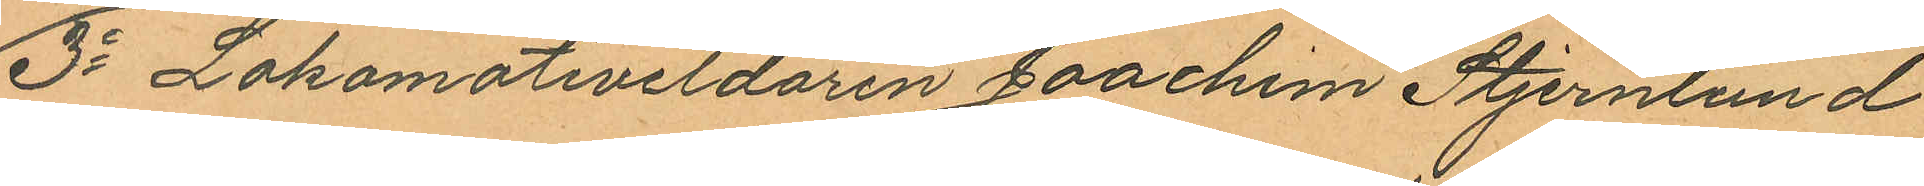3o Lokomotiveldaren Joachim Stjernlund
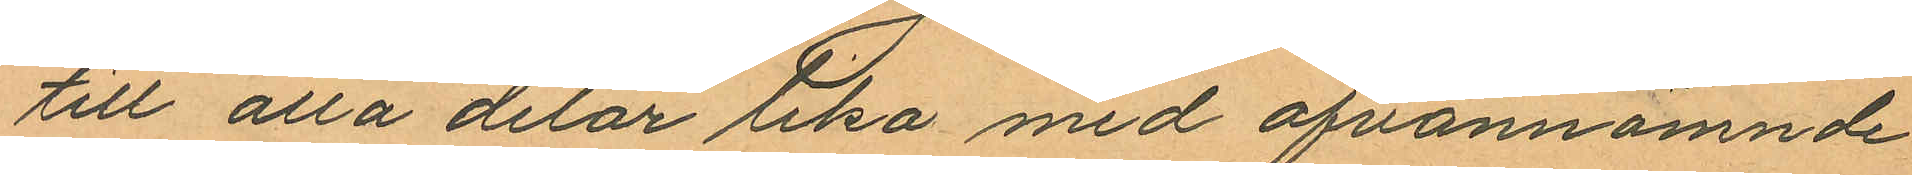till alla delar lika med ofvannämnde
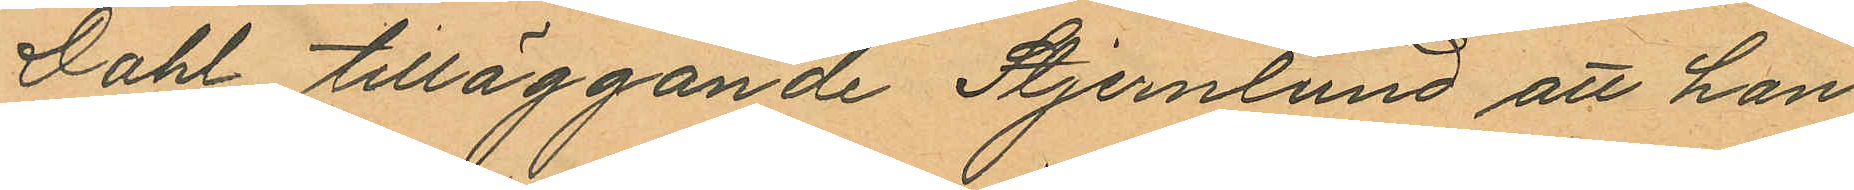Dahl tilläggande Stjernlund att han
